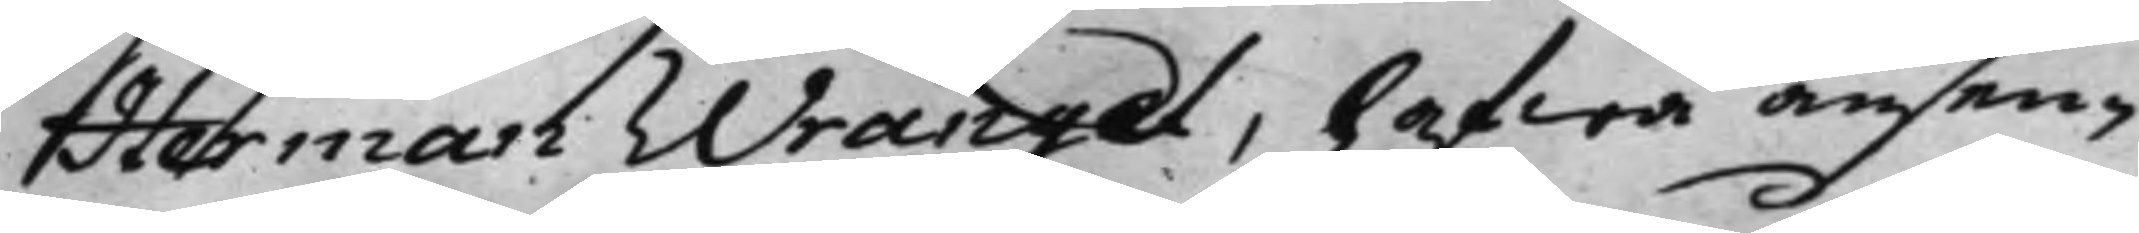Herman Wrangel, hafwa ansen¬
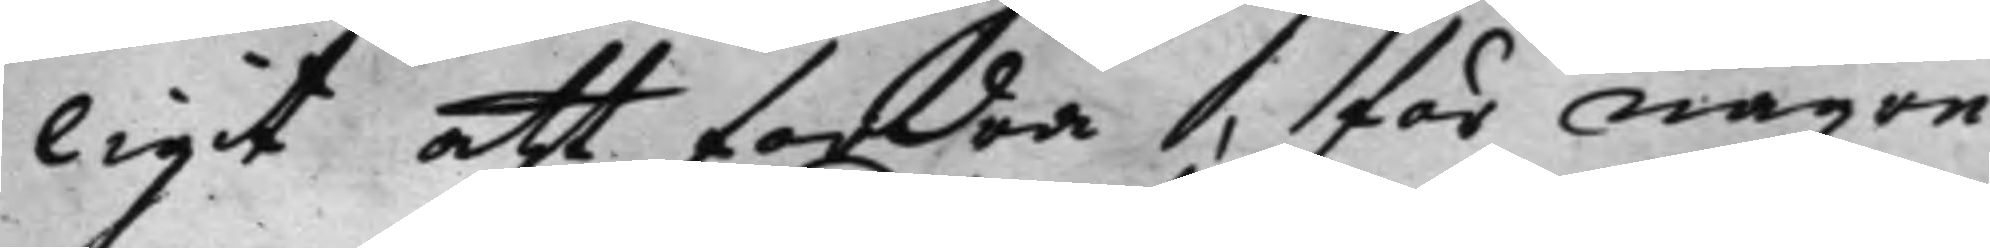ligit att fordra, för någre
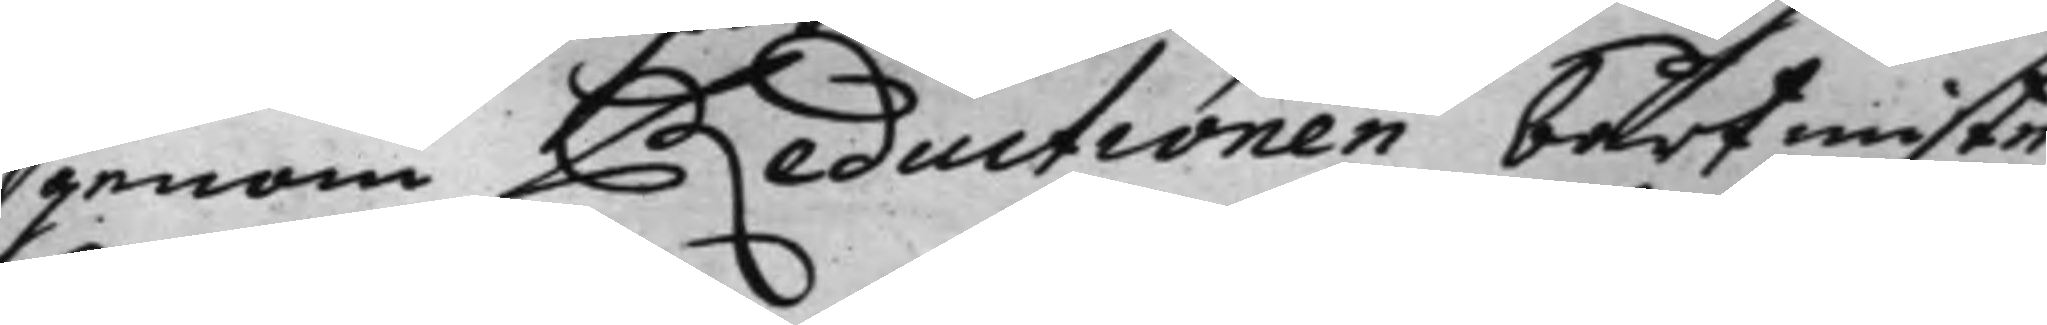genom Reductionen bortmiste
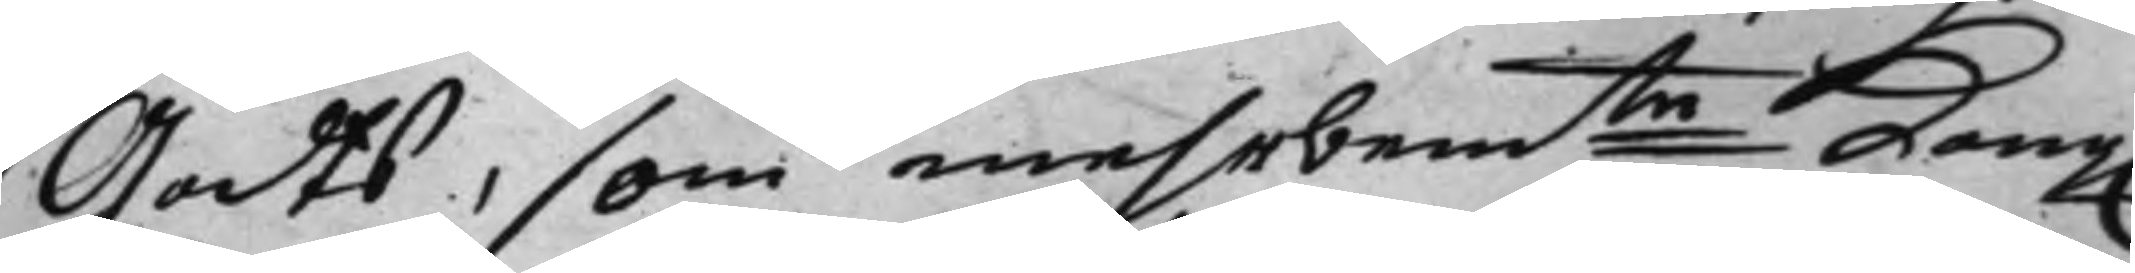Godts, som mehrbemte Kong. 
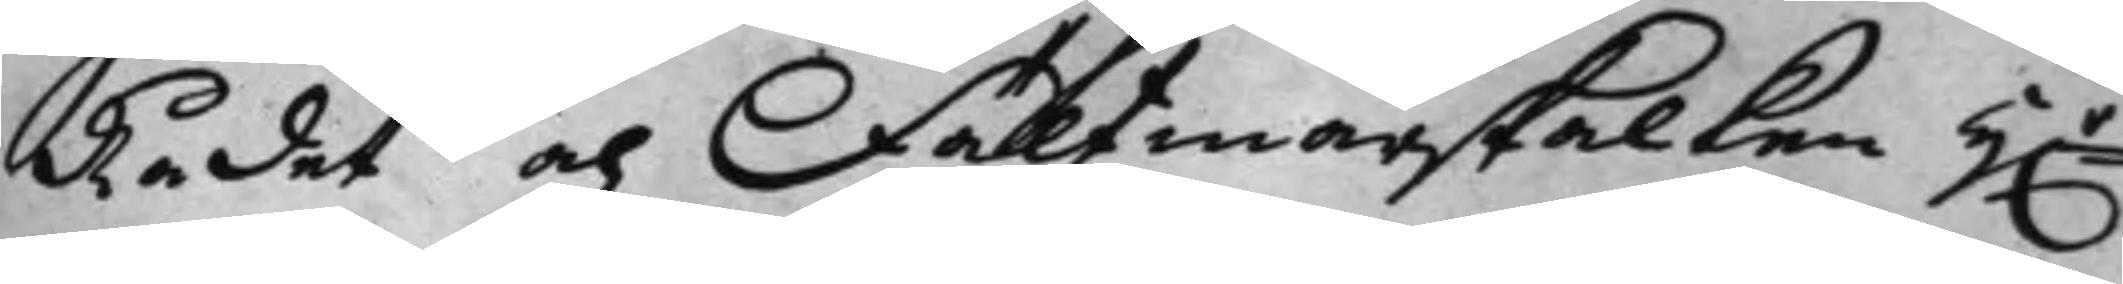Rådet och Fältmarskalken h.r 
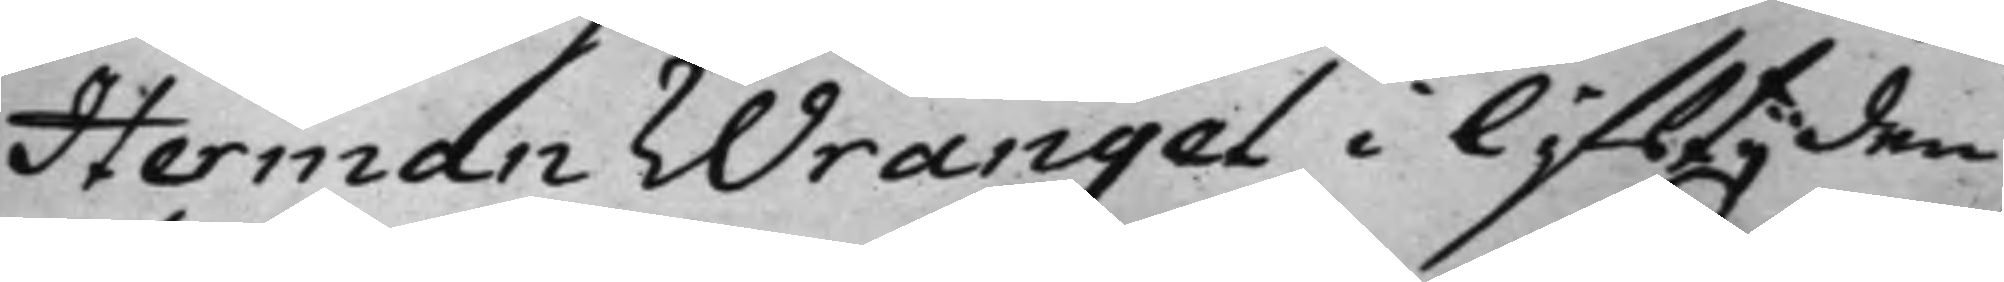Herman Wrangel i lifstijden
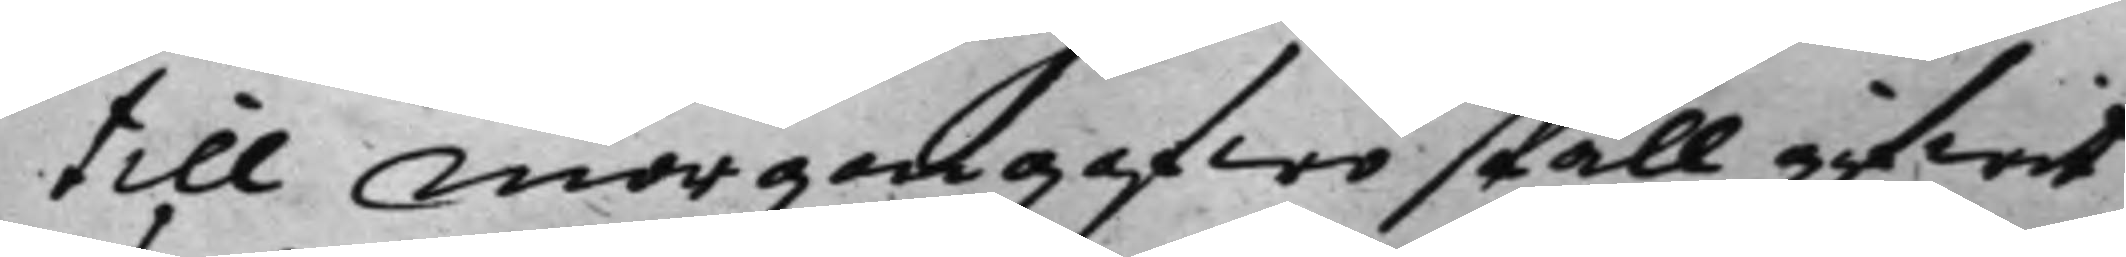till morgongafwo skall gifwit
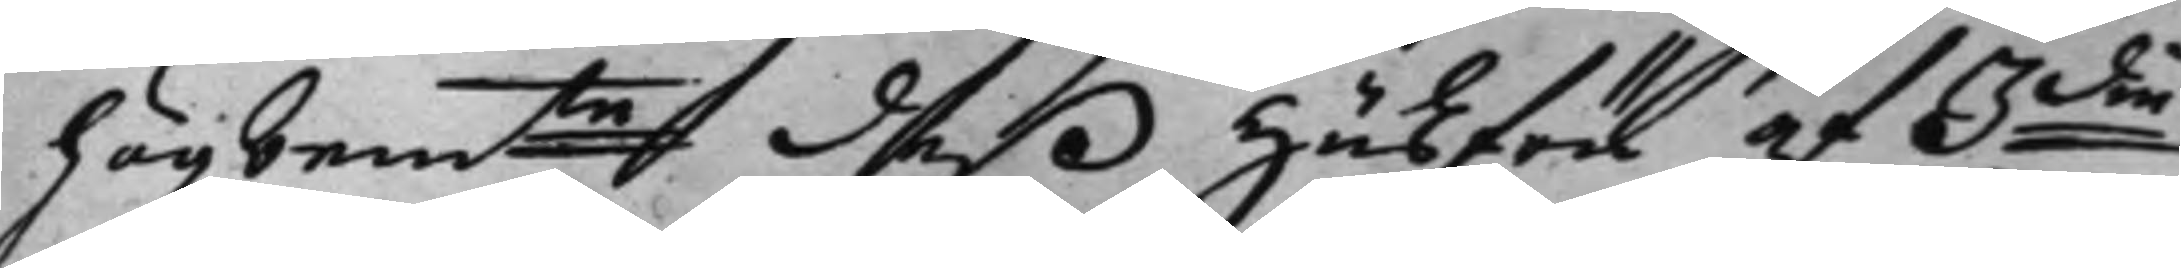högbemte deß Husfru af 3die 
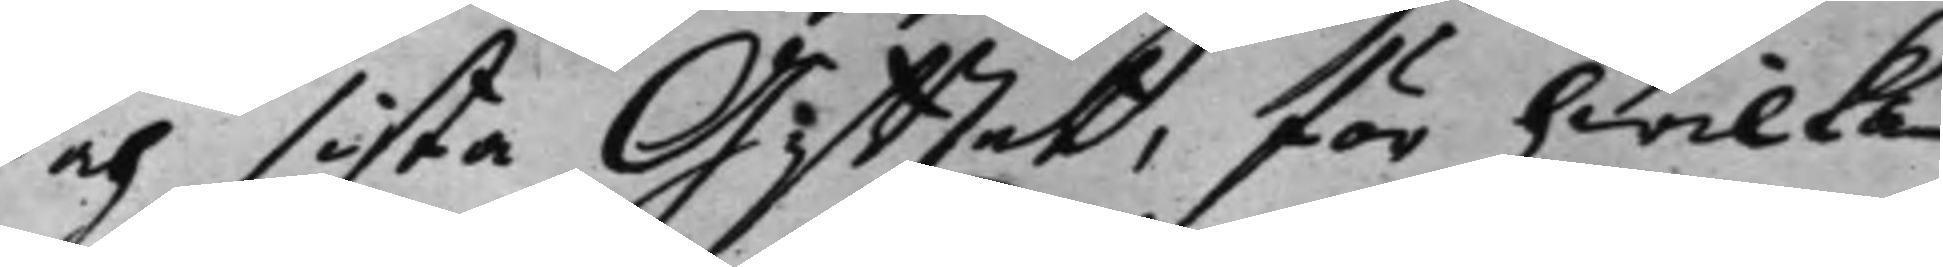och sista Giftet, för hwilka
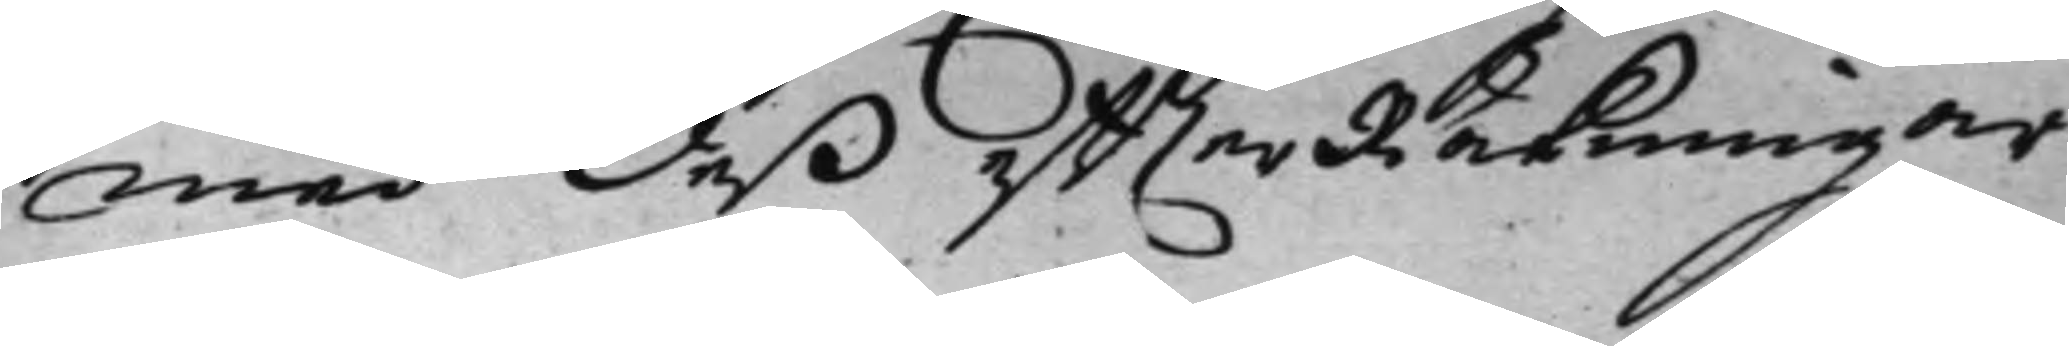med deß effterRäkningar
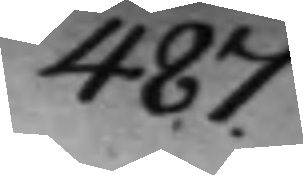487.
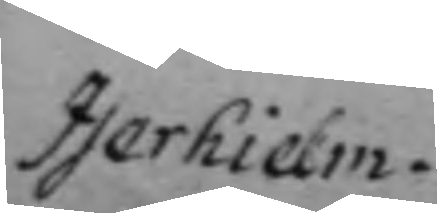Iserhielm.
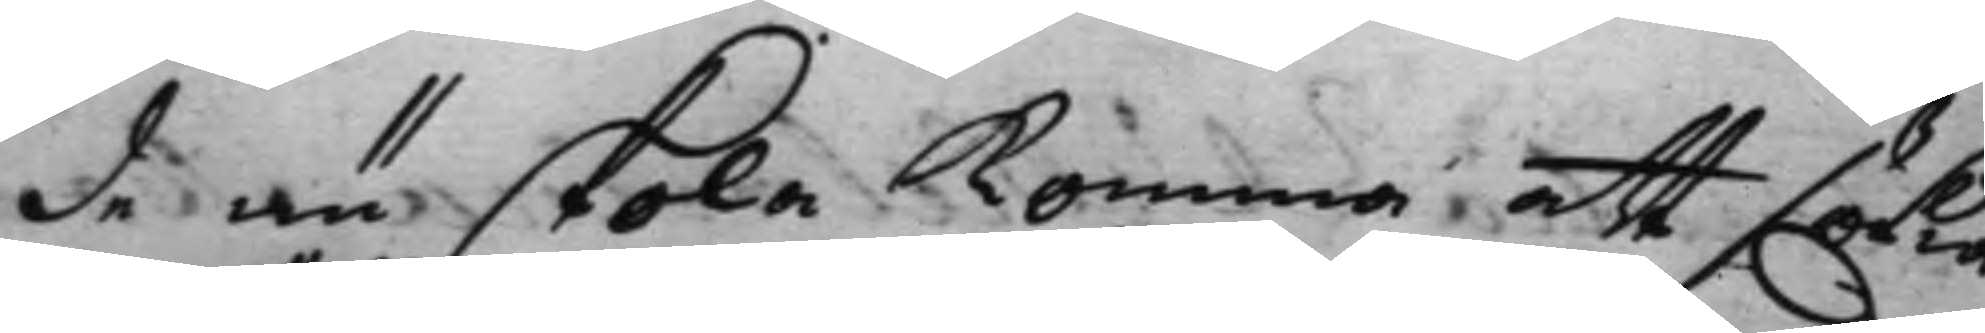de nu skola komma att sökia
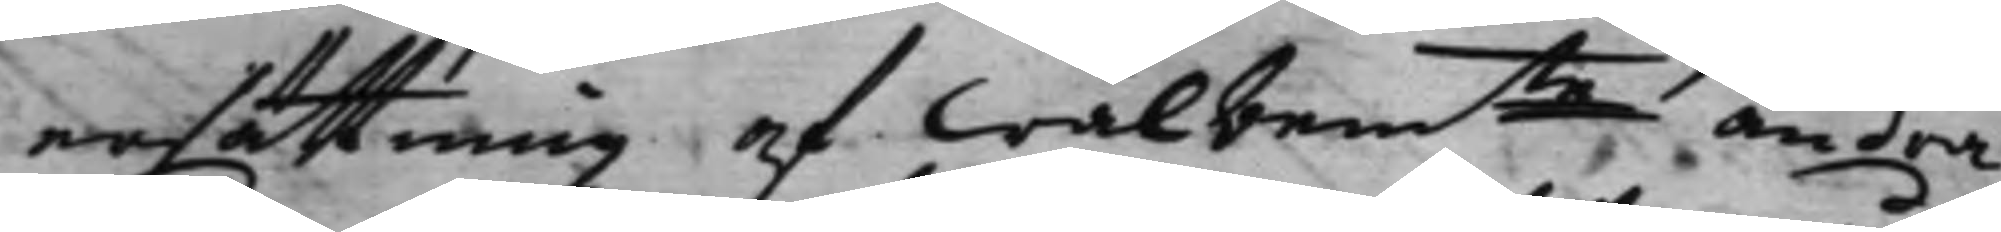ersättning af Wälbemte andra
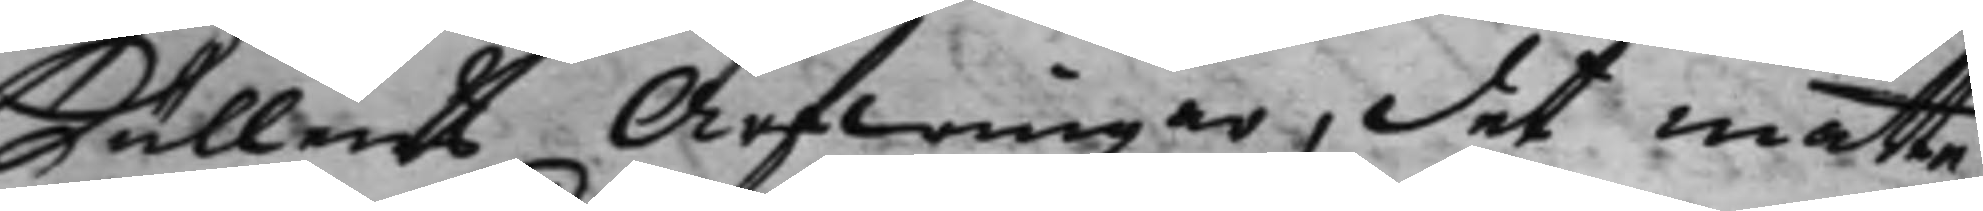Kullens Arfwingar, det måtte
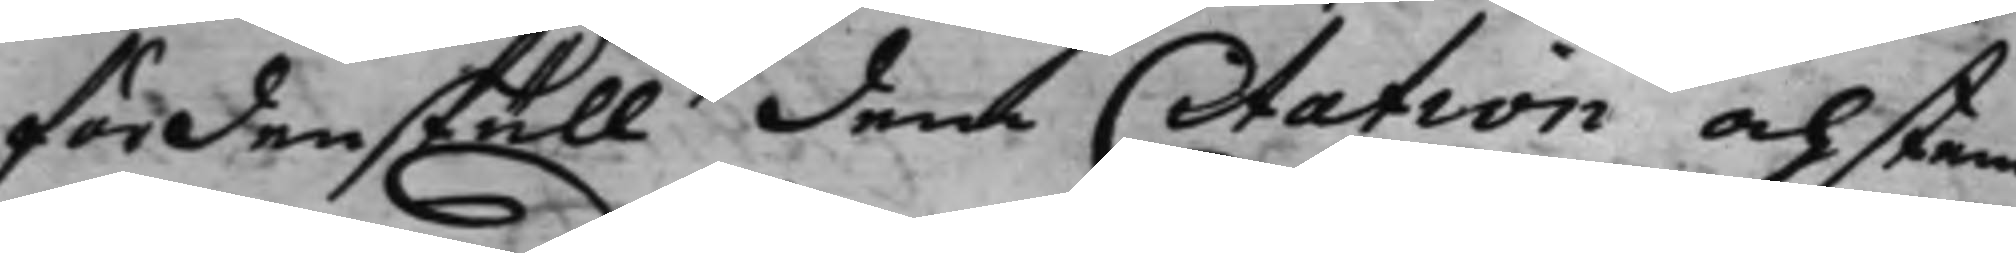fördenskull dem Citation och stem¬
